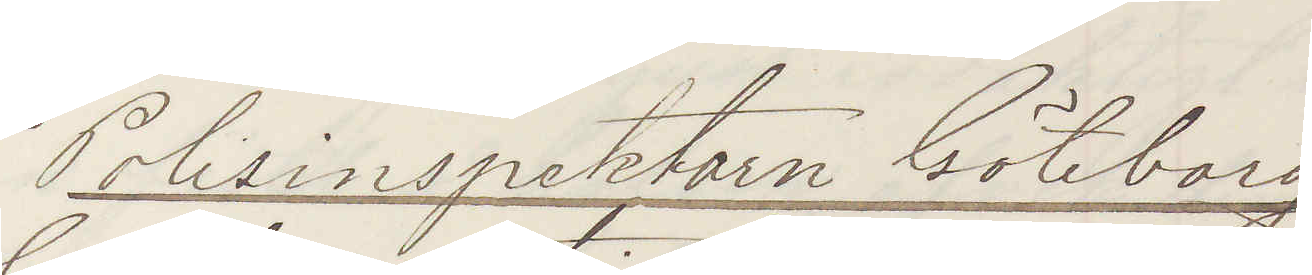Polisinspektorn Göteborg
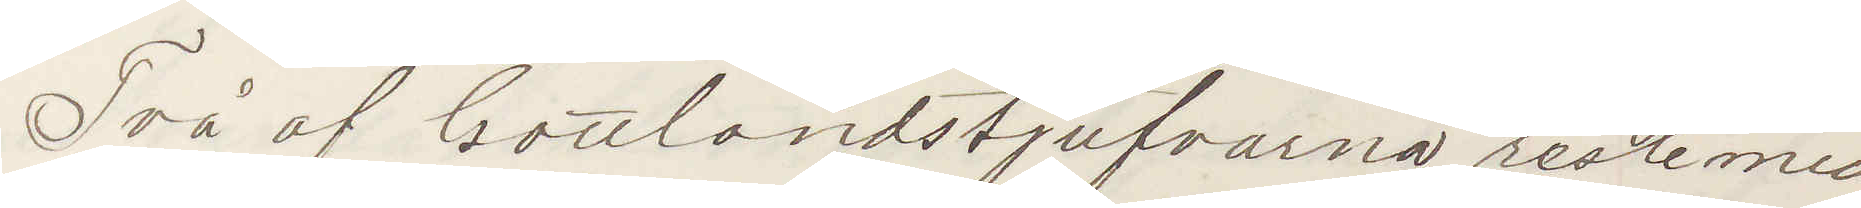Två af Gottlandstjufvarna reste med
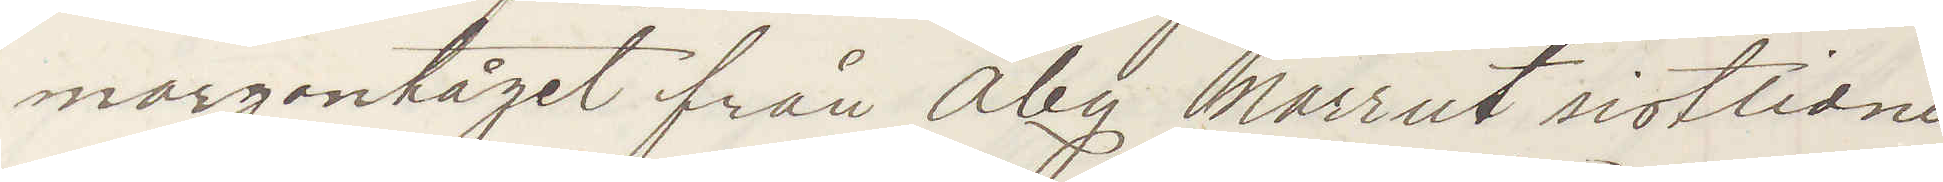morgontåget från Åby norrut sistlidne
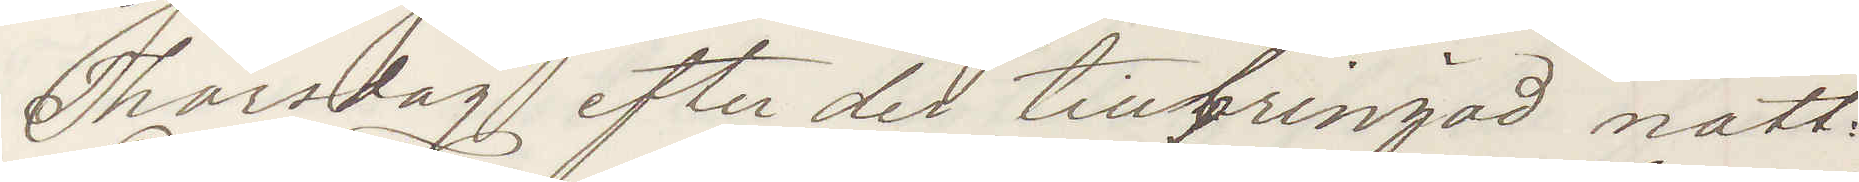Thorsdag efter der tillbringad natt.
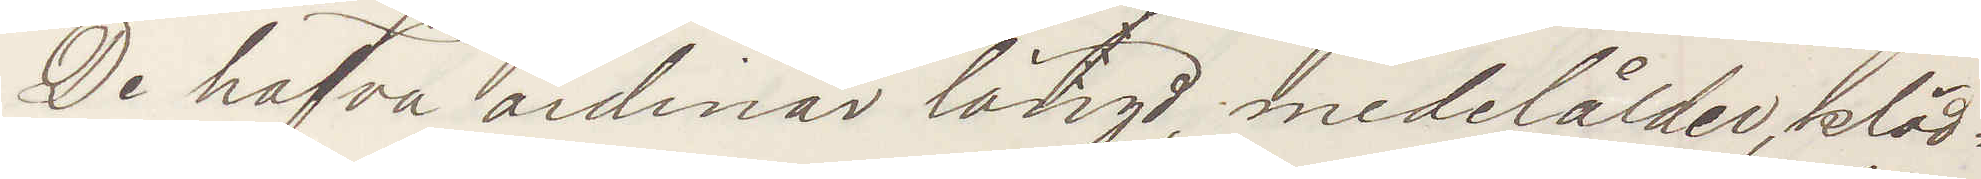De hafva ordinär längd, medelålder, kläd¬
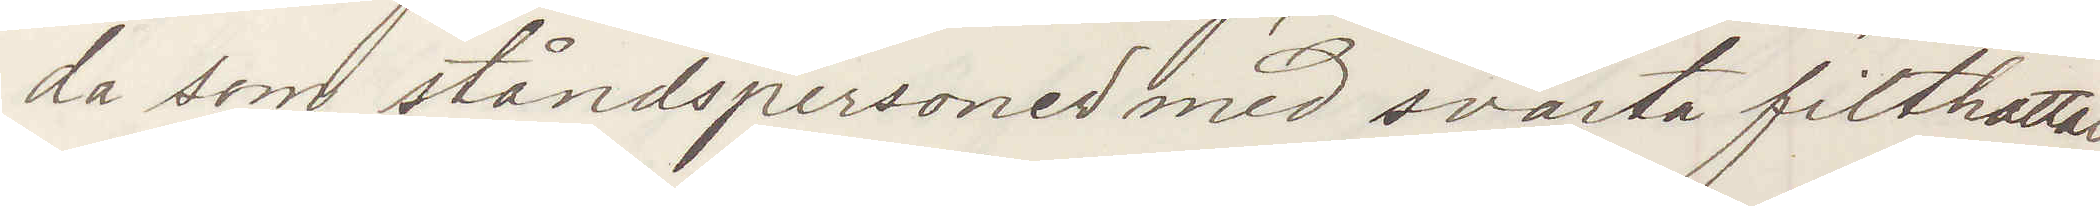da som ståndspersoner med svarta filthattar
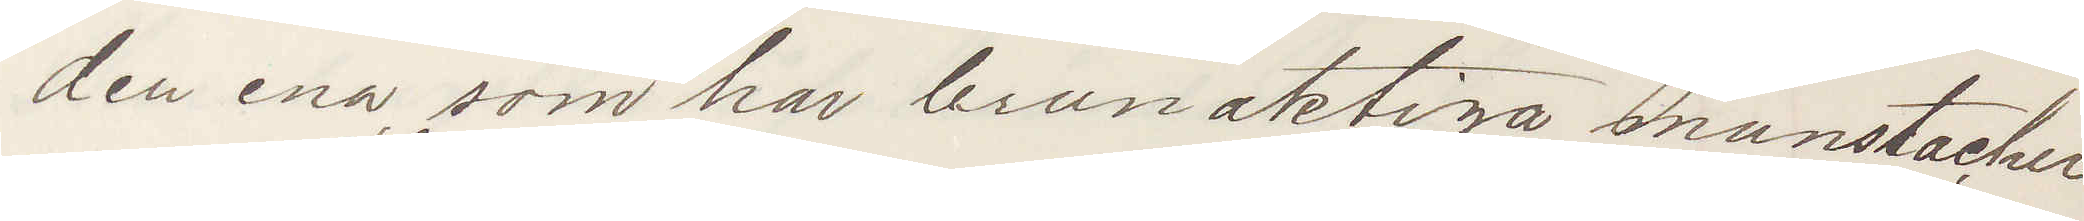den ena, som har brunaktiga munstacher
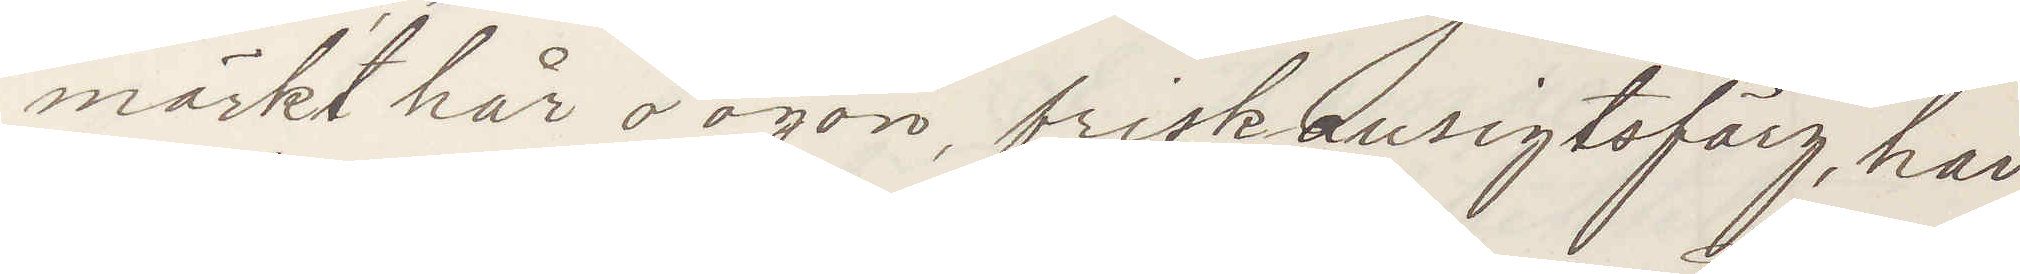mörkt hår o ögon, frisk ansigtsfärg, har
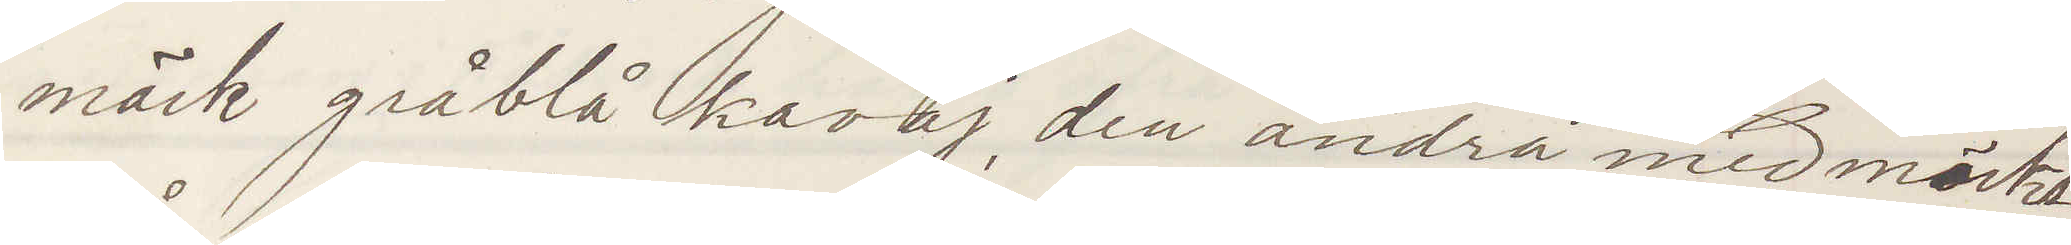mörk gråblå kavaj, den andra medelmörkt
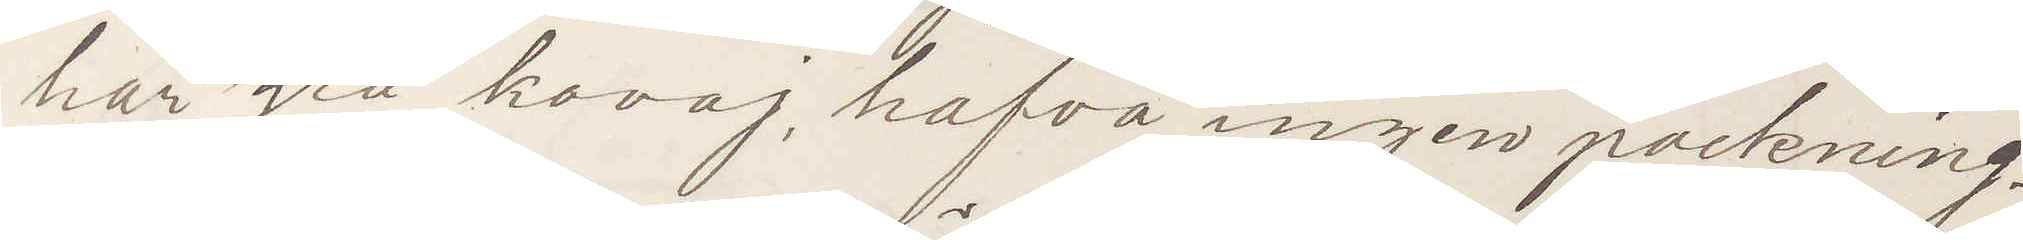hår, grå kavaj, hafva ingen packning.
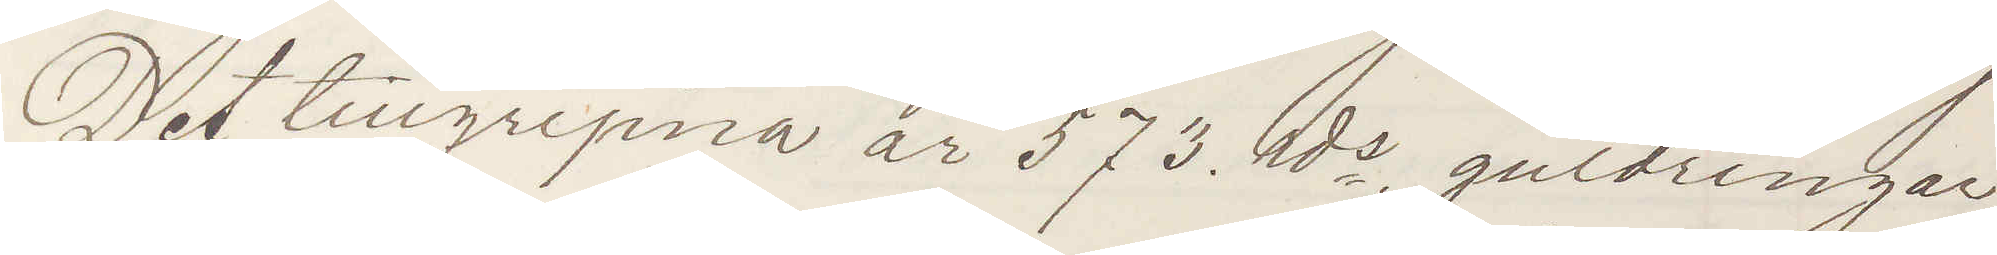Det tillgripna är 573 rds guldringar,
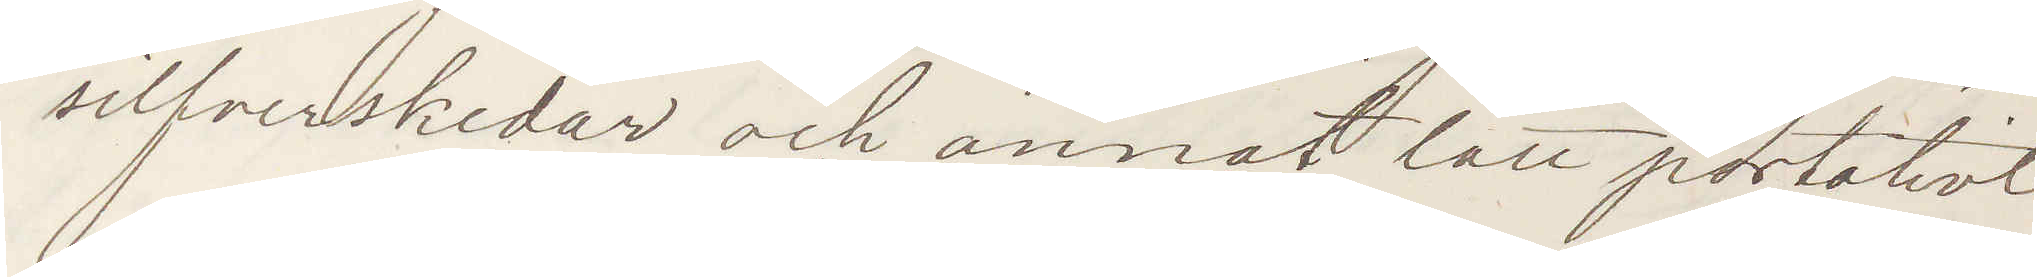silfverskedar och annat lätt portativt
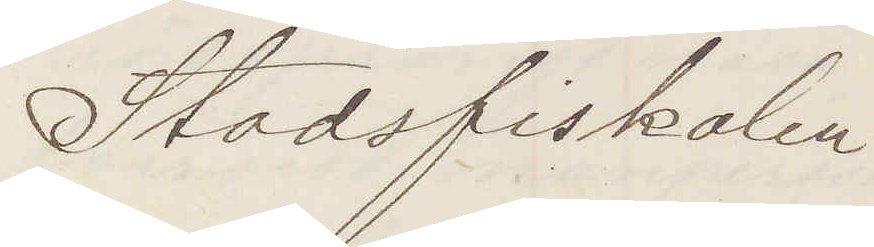Stadsfiskalen
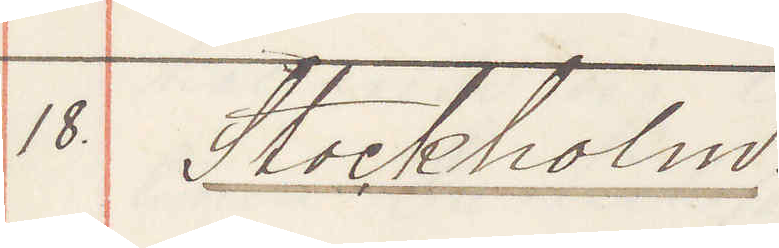18. Stockholm.
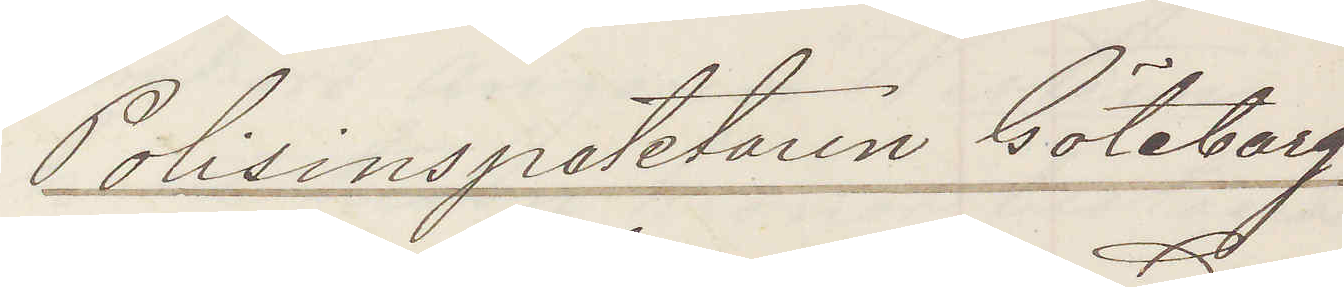Polisinspektoren Göteborg.
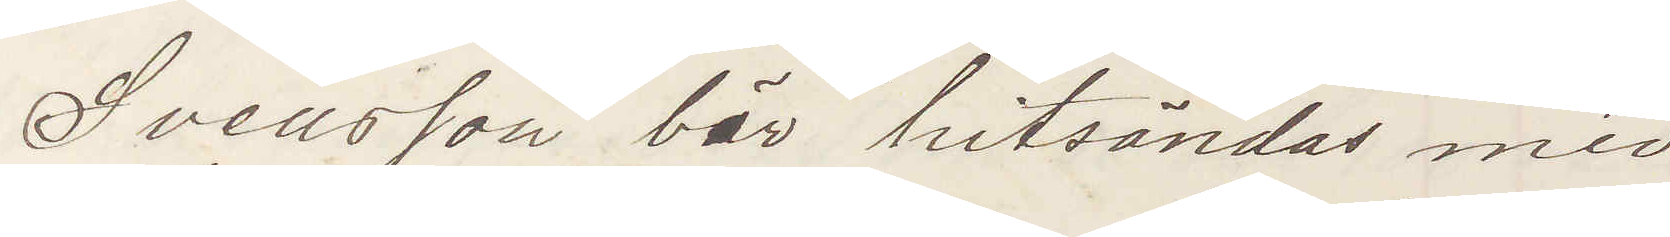Svensson bör hitsändas med
